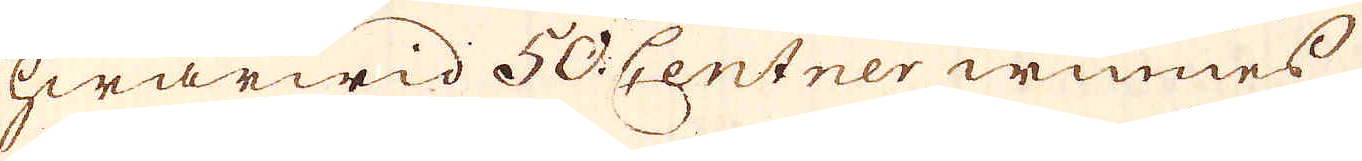hwarwid 50. Centner winnes,
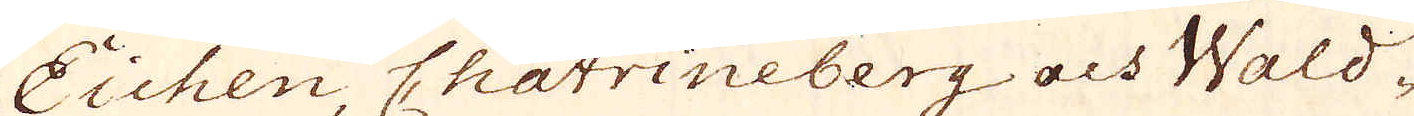Eichen, Chatrineberg och Wald-
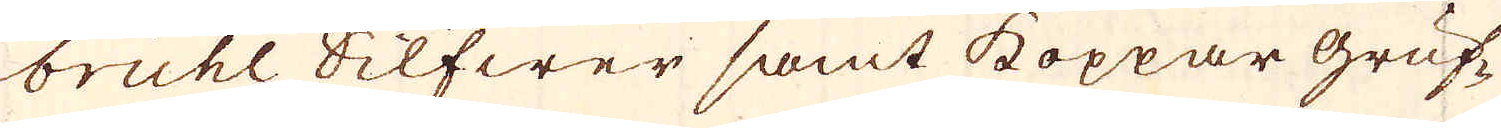bruhl Silfwer samt koppar gruf-
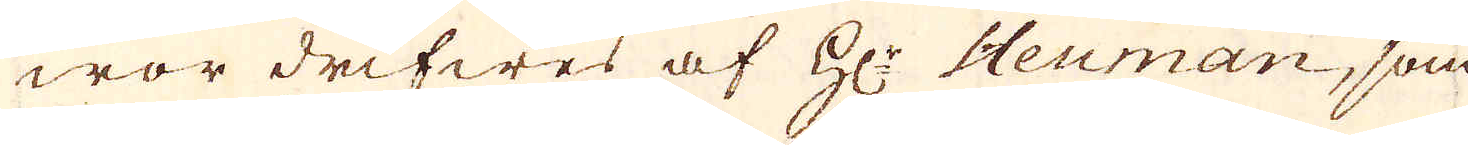wor drifwes af h:r Heuman, som
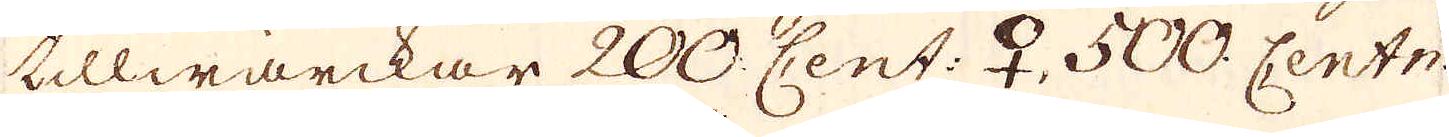tillwärckar 200. Cent: ♀, 500. Centn:
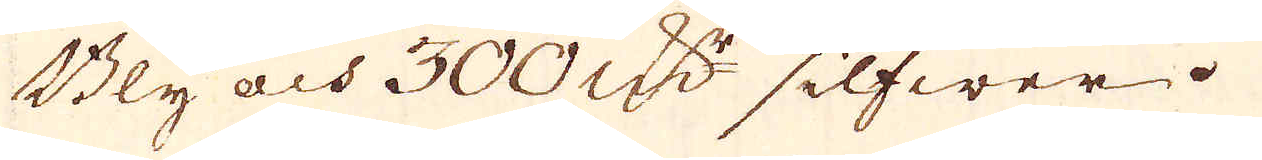Bly och 300 qw:r silfwer.
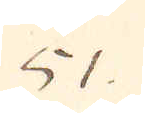51.
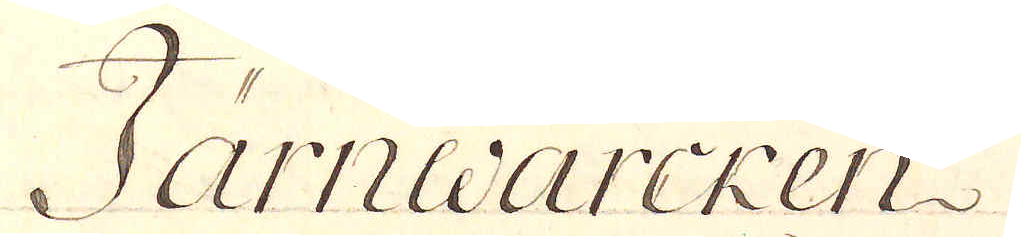Järnwärcken
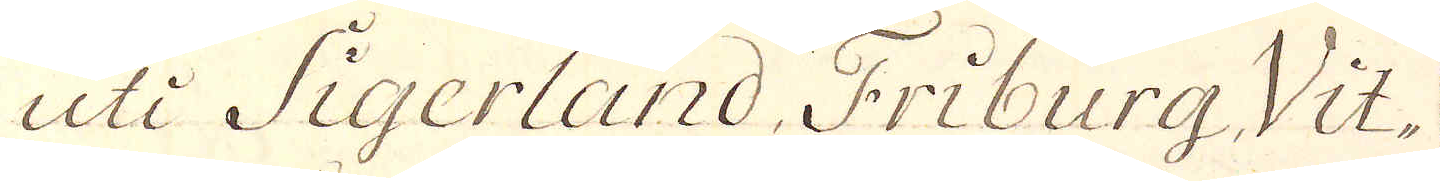uti Sigerland, Friburg, Vit-
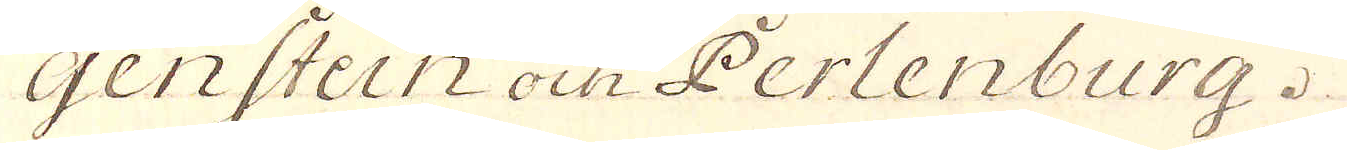genstein och Perlenburg.
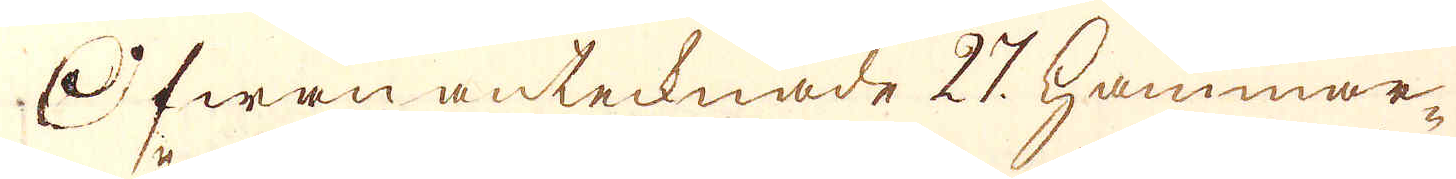Ofwan antecknade 27. hammar-
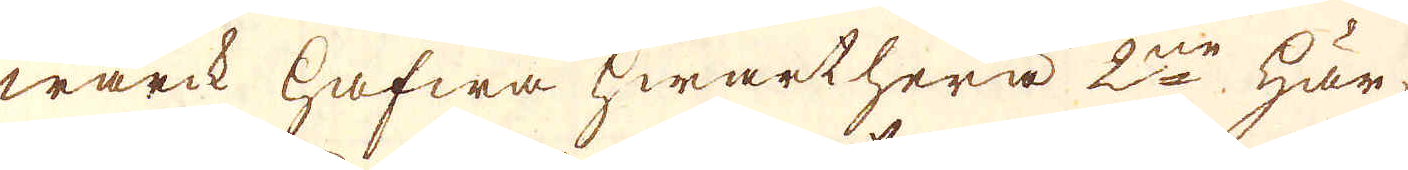wärck hafwa hwarthera 2ne här
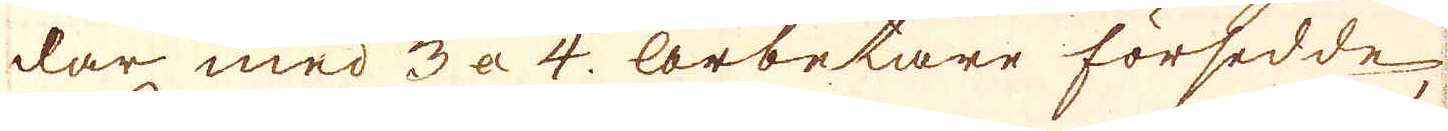dar med 3 a 4. arbetare försedde
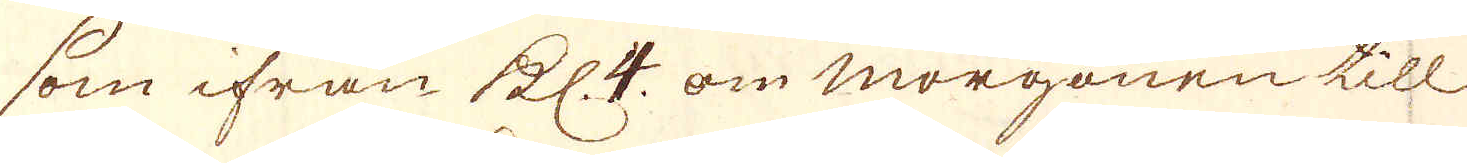som ifrån kl. 4 om morgonen till
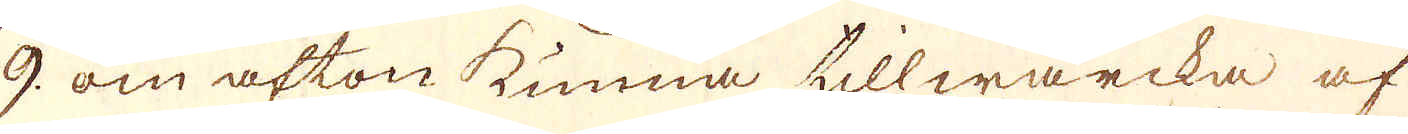9 om afton kunna tillwärcka af
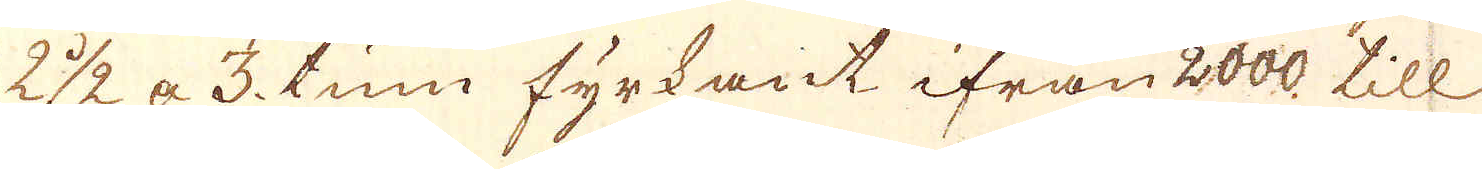2 1/2 a 3. tum fyrkant ifrån 2000. till
